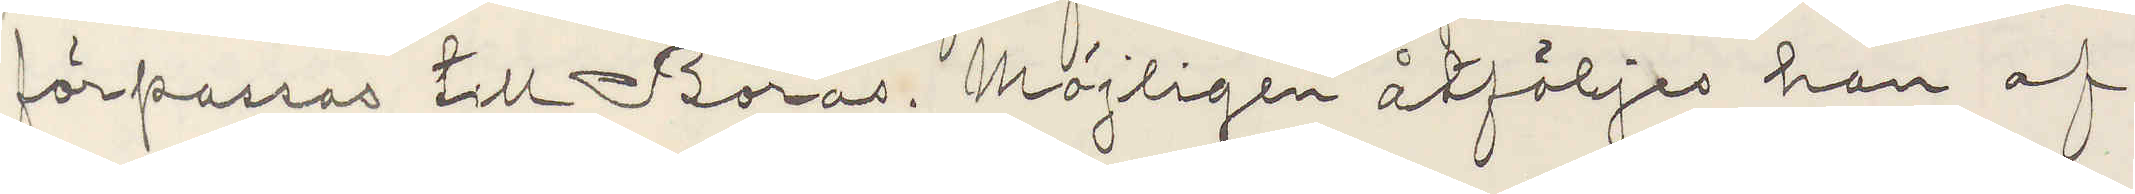förpassas till Borås. Möjligen åtföljes han af
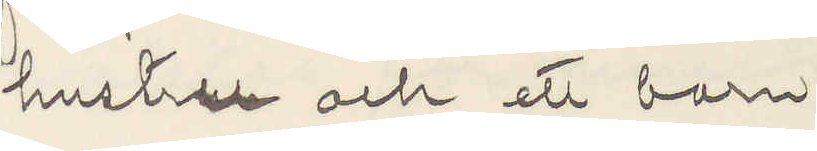hustru och ett barn
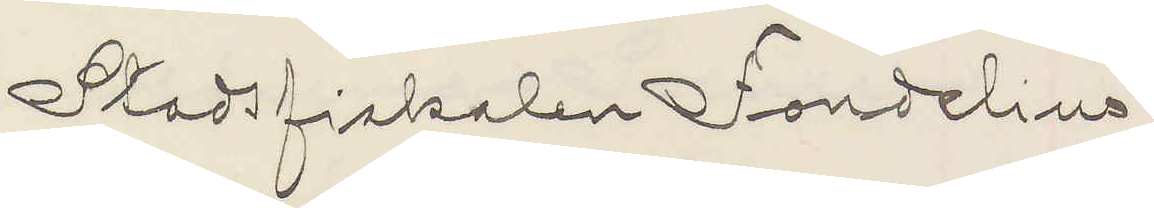Stadsfiskalen Fondelius
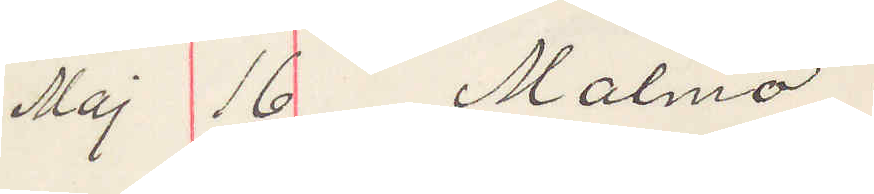Maj 16 Malmö.
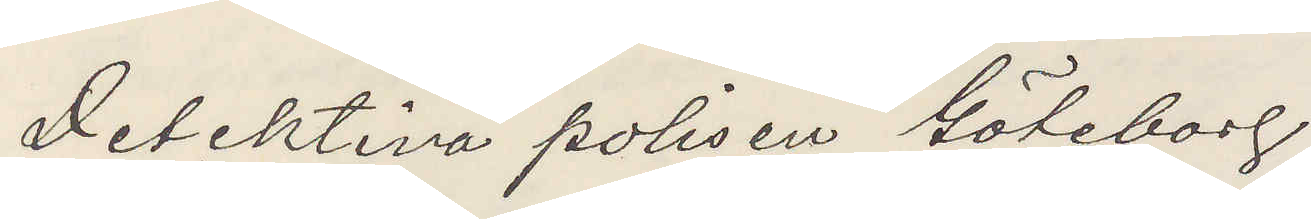Detektiva polisen Göteborg
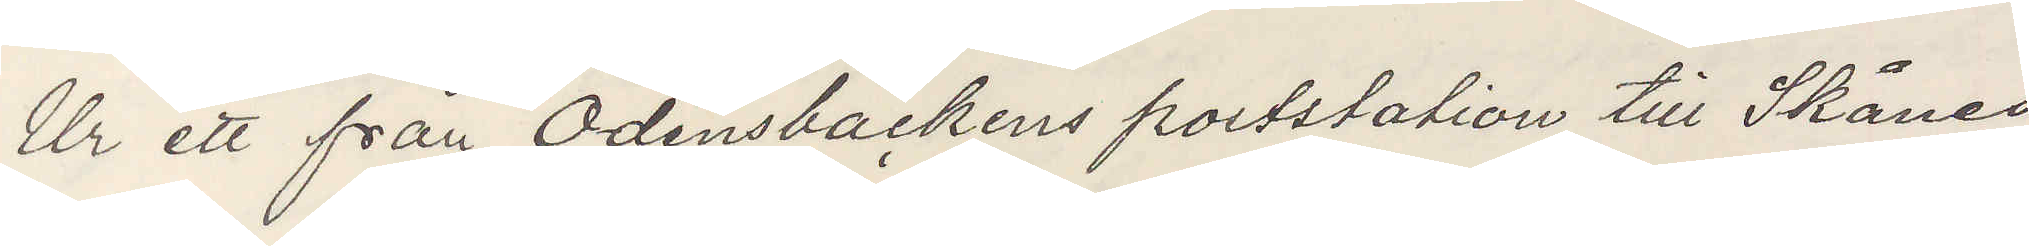Ur ett från Odensbackens poststation till Skånes
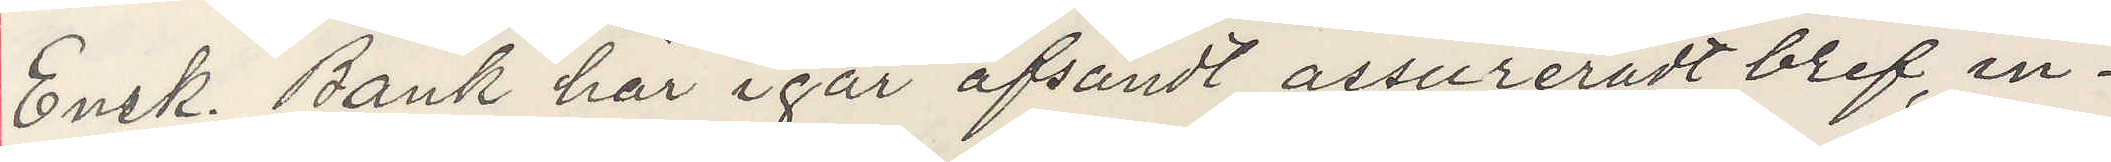Ensk Bank här igår afsändt assureradt bref in¬
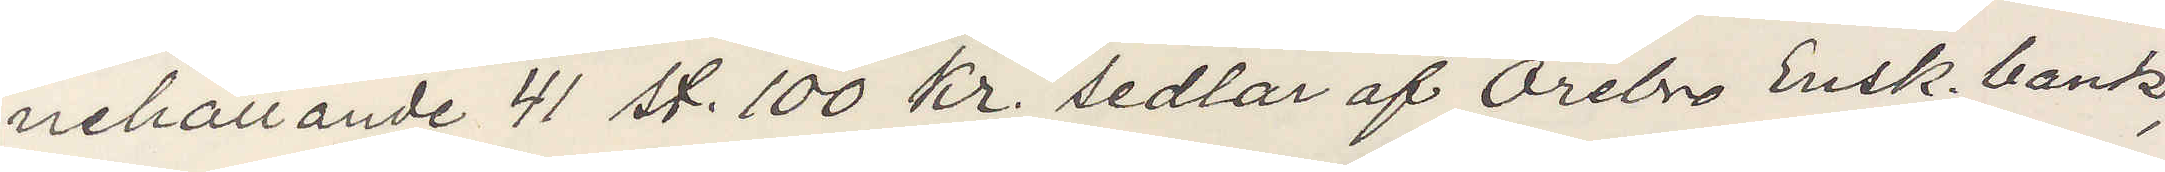nehållande 41 st. 100 Kr sedlar af Örebro Ensk. bank,
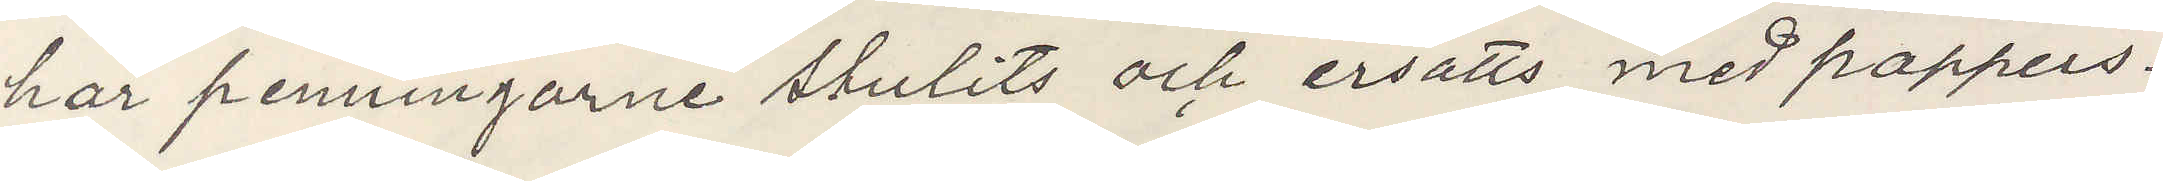har penningarne stulits och ersatts med pappers¬
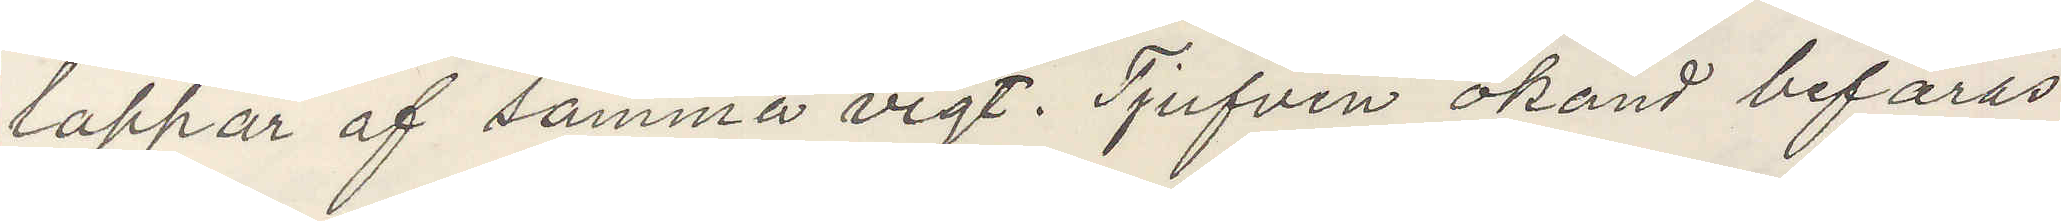lappar af samma vigt Tjufven okänd befaras
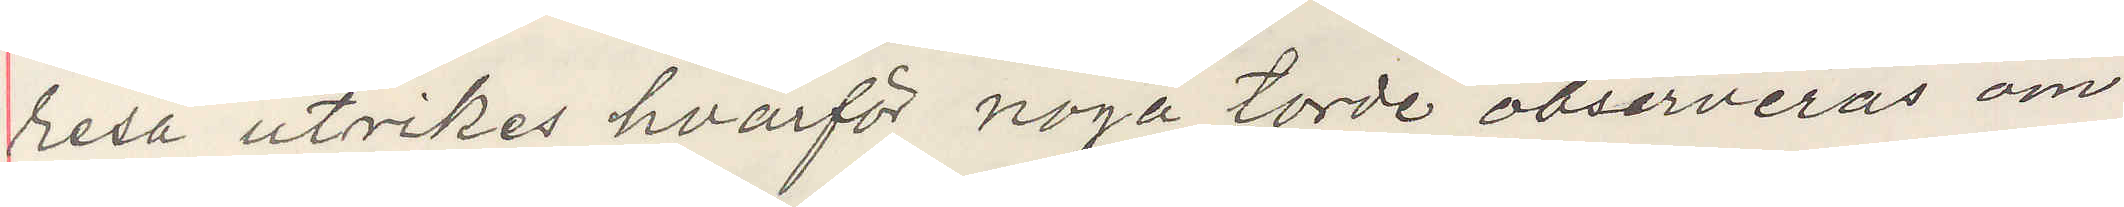resa utrikes hvarför noga torde observeras om
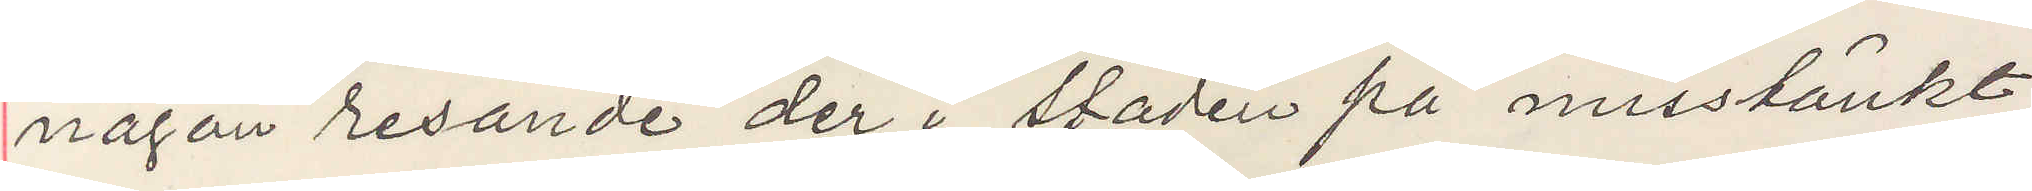någon resande der i staden på misstänkt
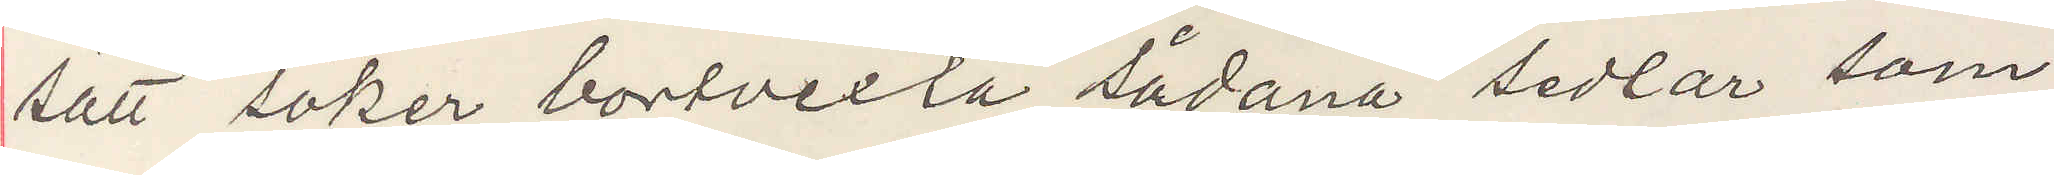sätt söker bortvexla sådana sedlar som
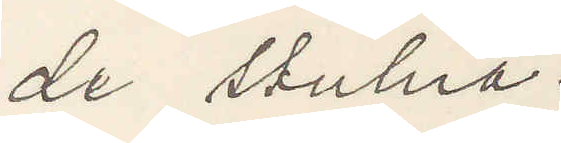de stulna.
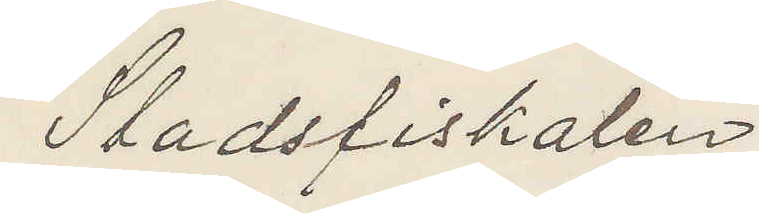Stadsfiskalen
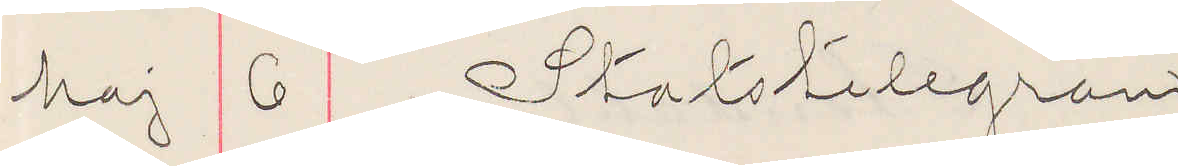Maj 6 Statstelegram
